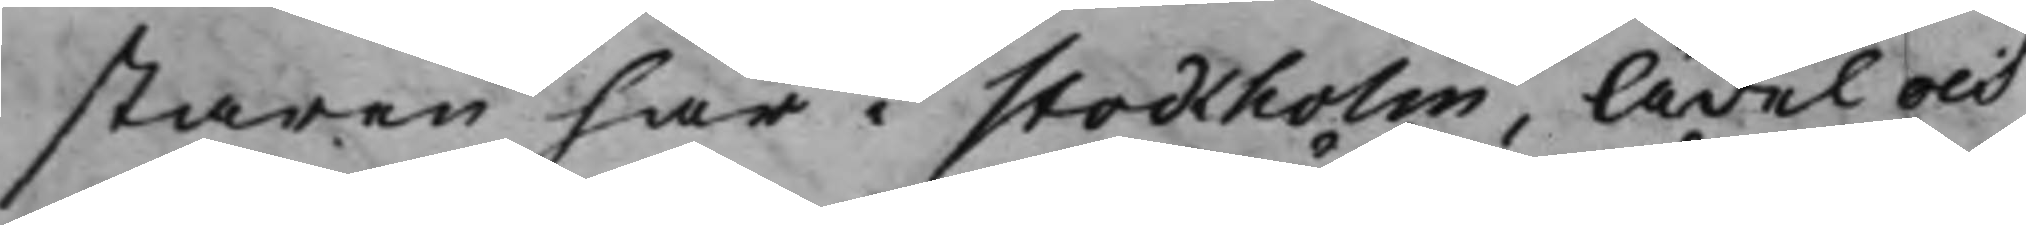staren här i Stockholm, Ädel och
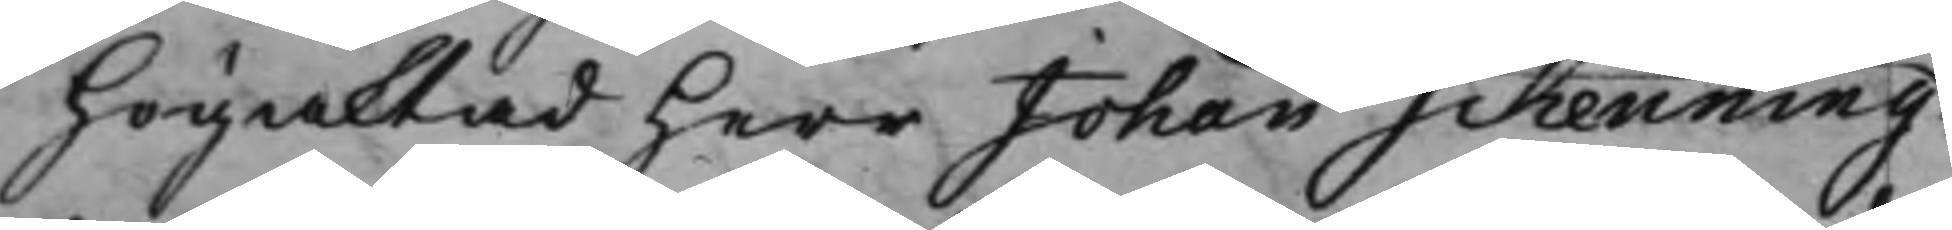Högaktad Herr Johan Schenning
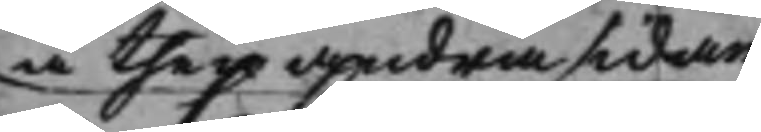å then andra sidan
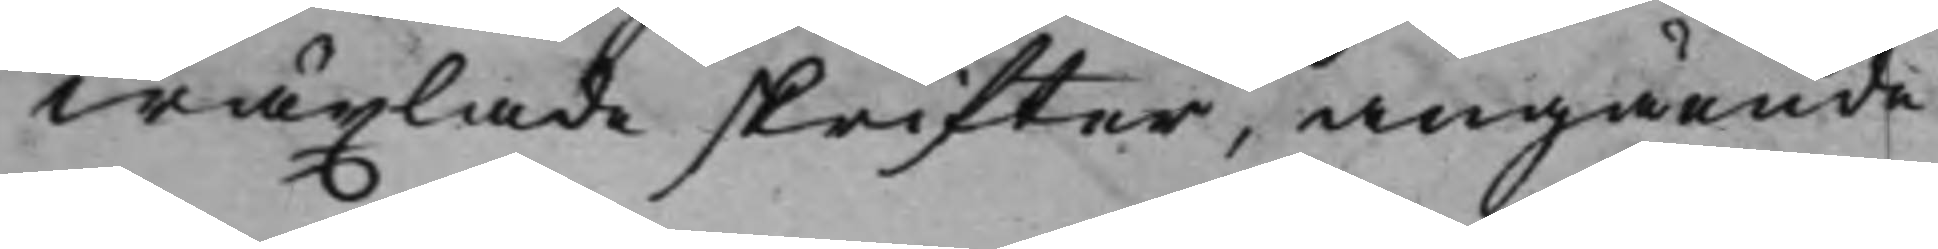wäxlade skrifter, angående
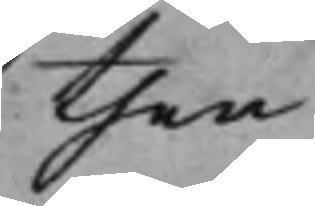then
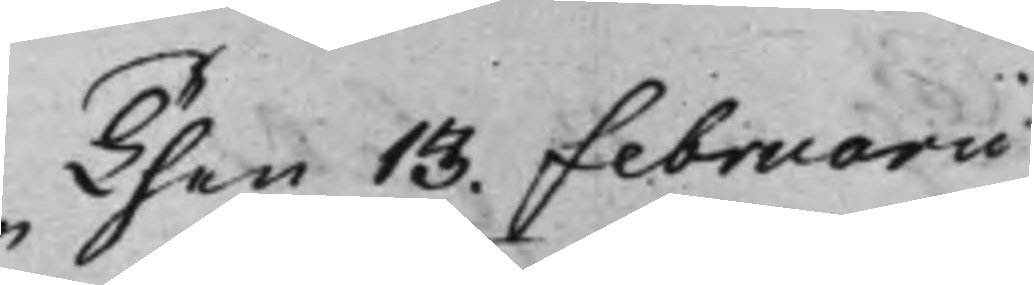Then 13. Februarii
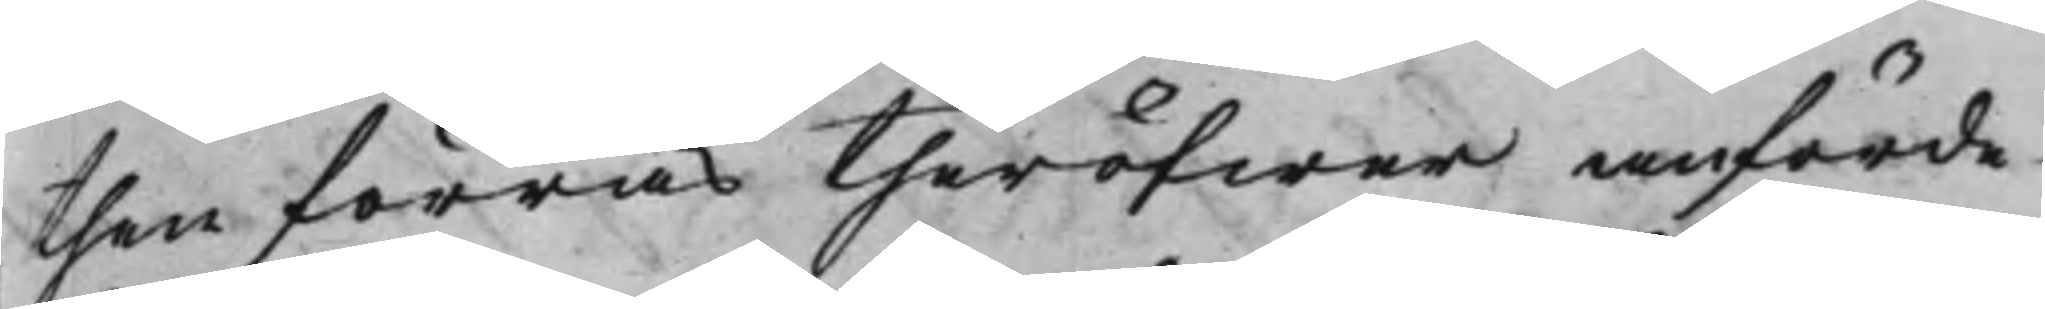then förras theröfwer anförde
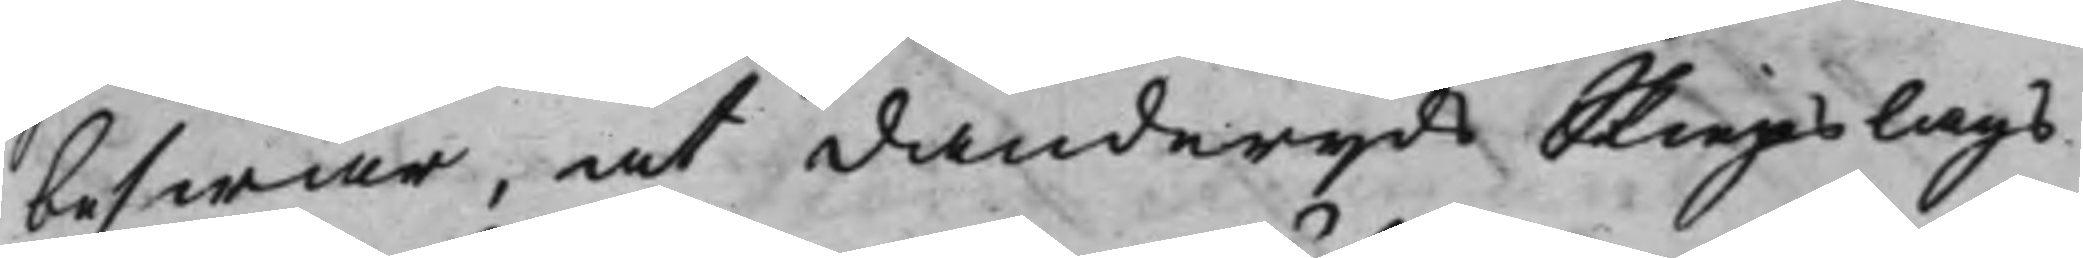beswär, at Danderyds Skiepslags
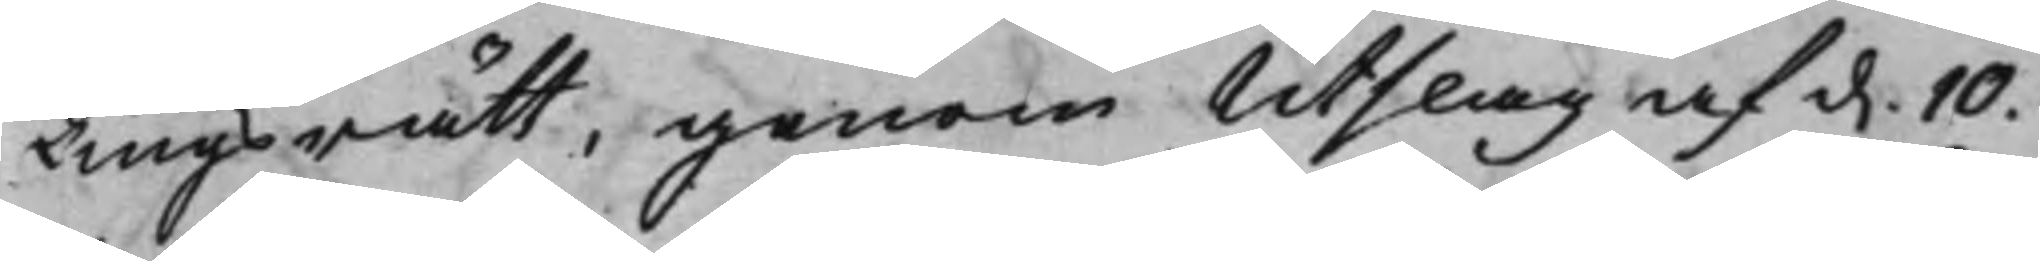Tingsrätt, genom Utslag af d. 10.
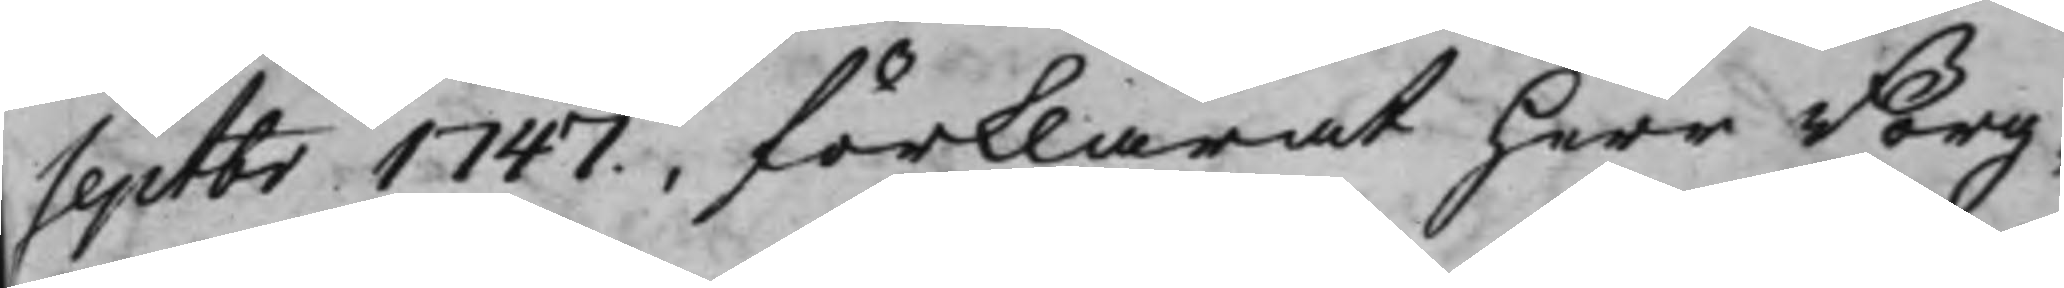Septbr 1747, förklarat Herr Borg¬
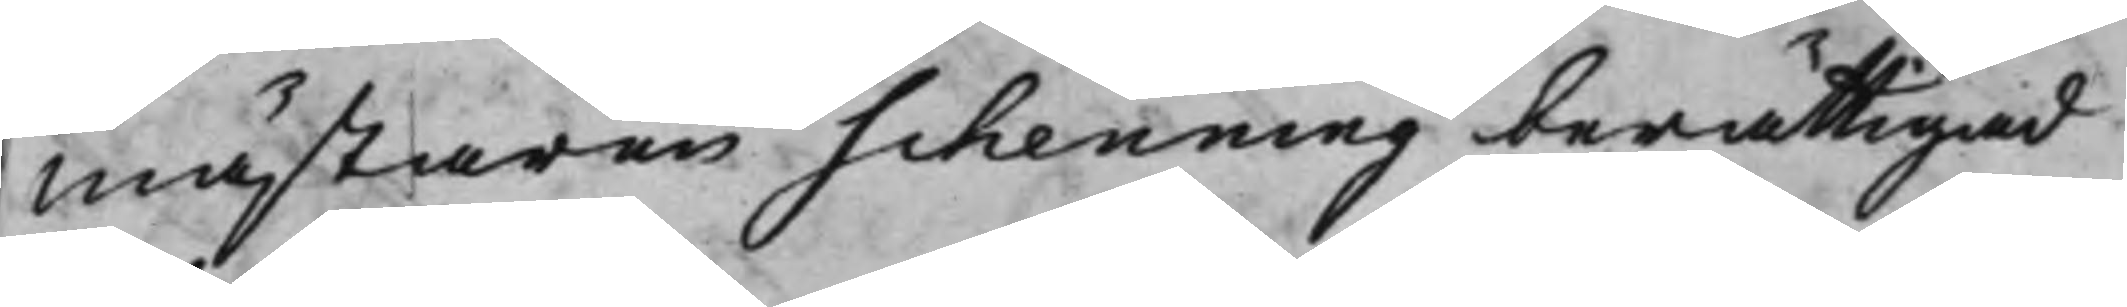mästaren Schenning berättigad
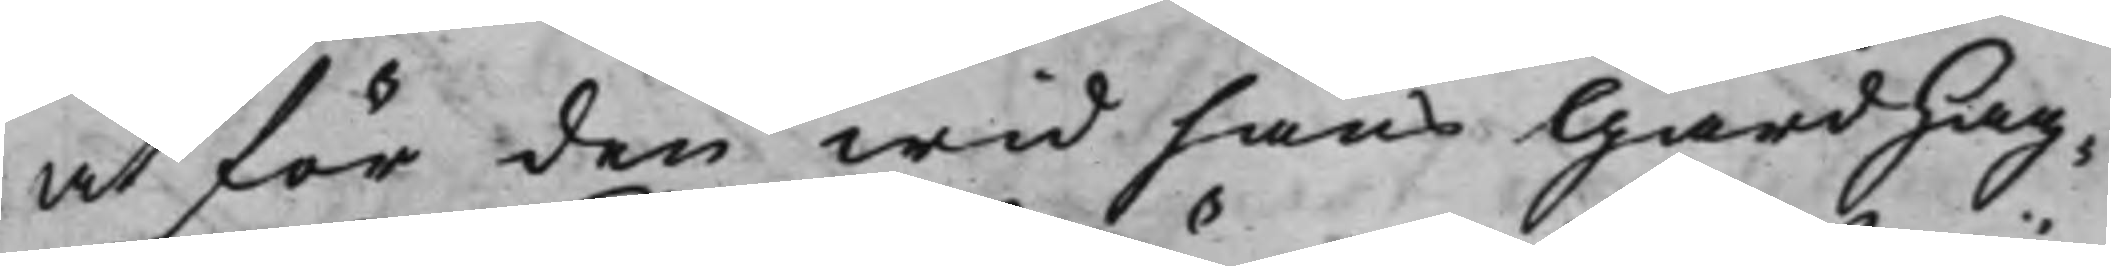at för den wid hans Gård Hag¬ 
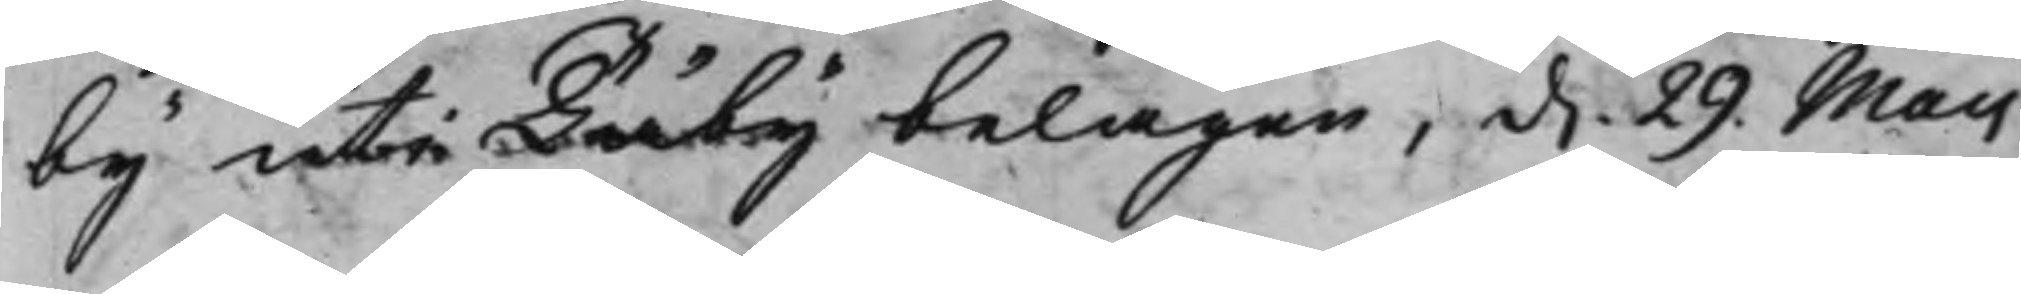by uti Täby belägen, d. 29. Maij
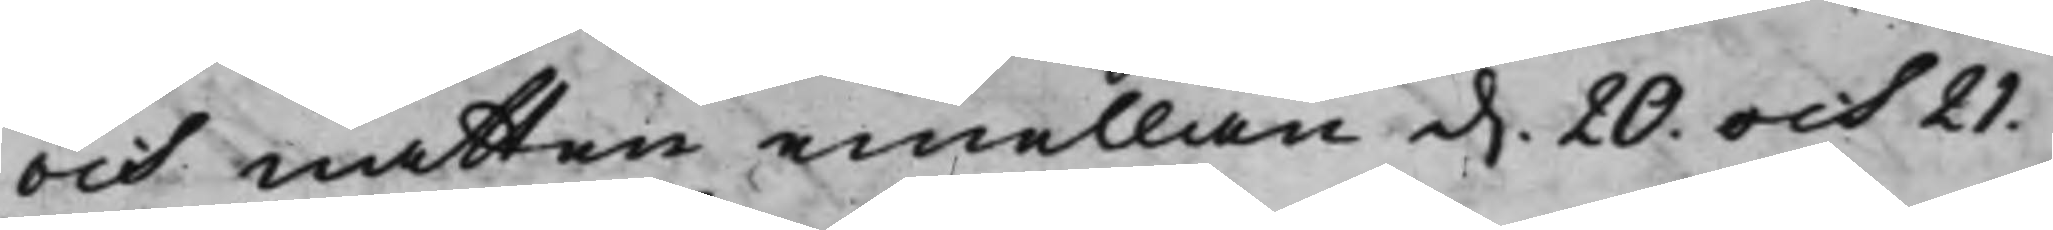och natten emellan d. 20. och 21.
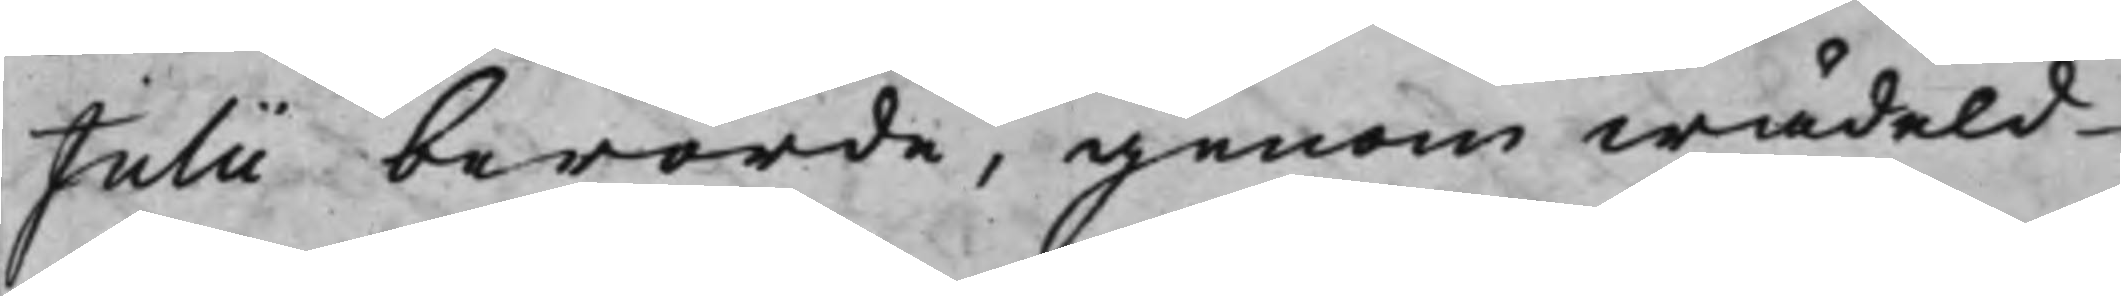Julii berörde, genom wådeld
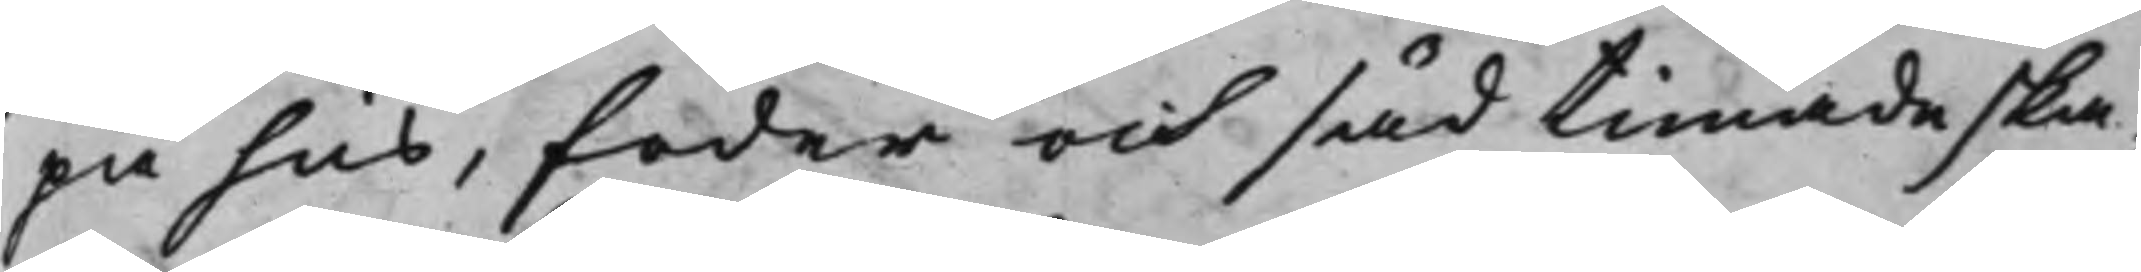på hus, foder och säd timade ska¬
